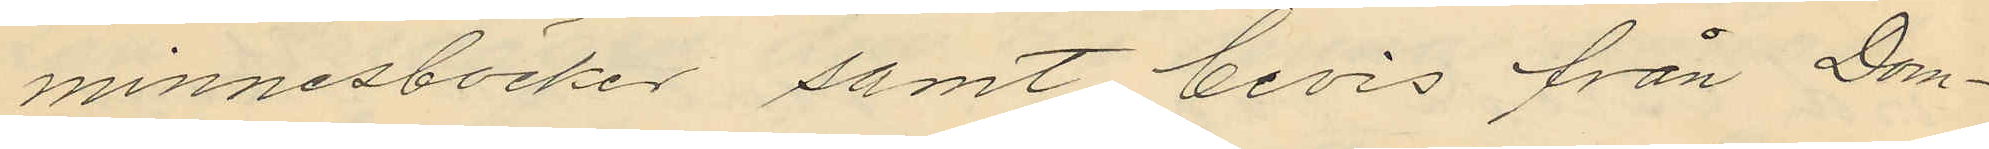minnesböcker samt bevis från Dom¬
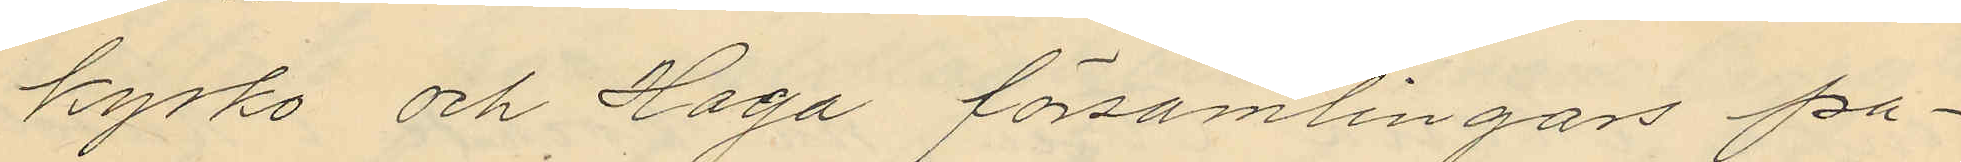kyrko och Haga församlingars pa¬
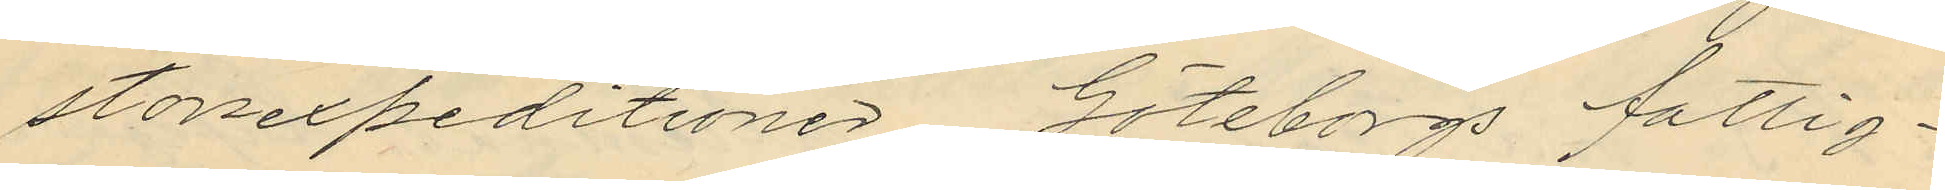storsexpeditioner Göteborgs fattig¬
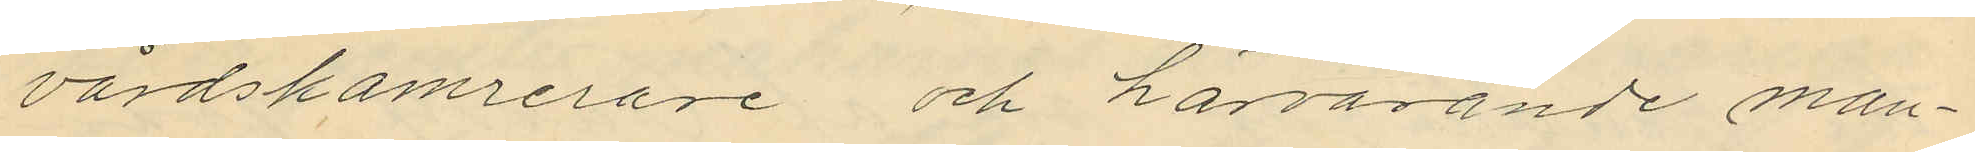vårdskamrerare och härvarande man¬
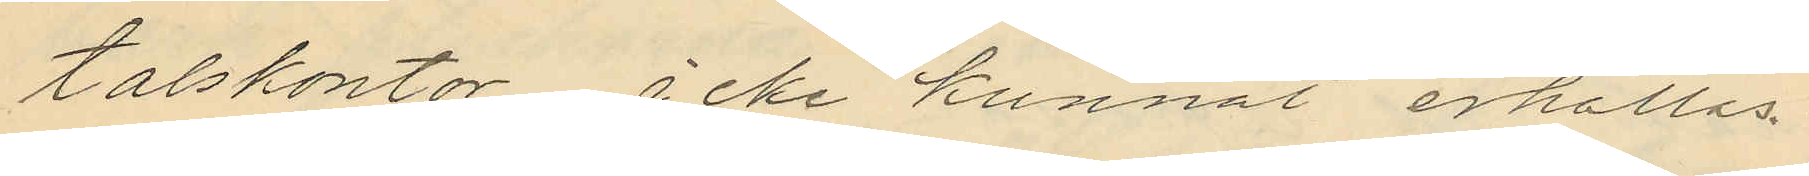talskontor icke kunnat erhållas.
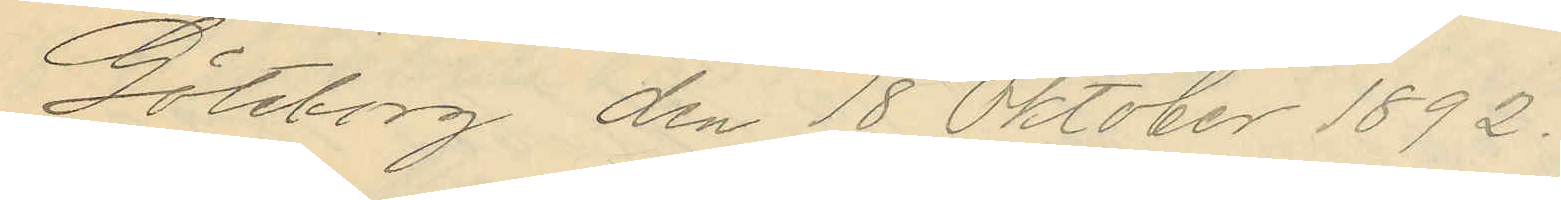Göteborg den 18 Oktober 1892.
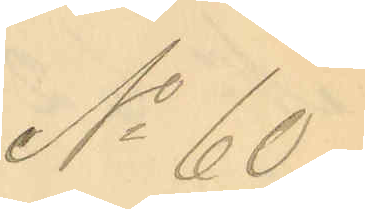No 60.
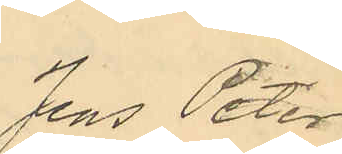Jens Peter
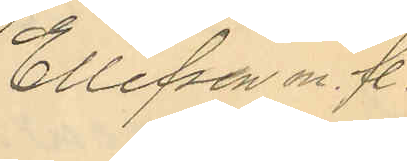Ellefsen m. fl.
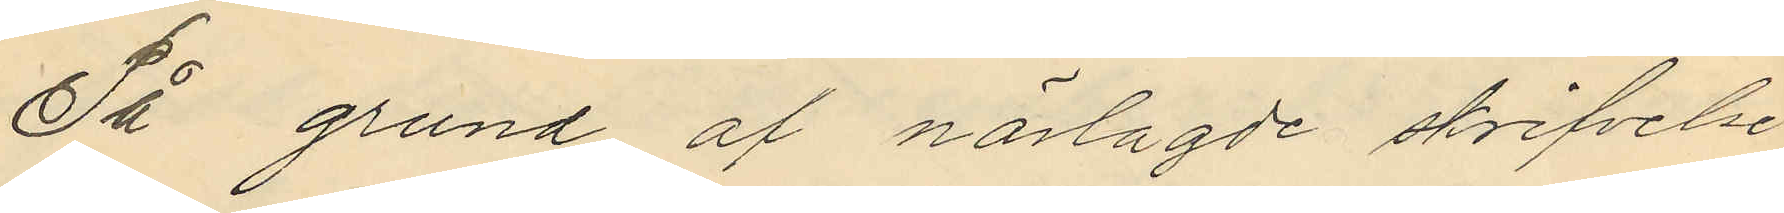På grund af närlagde skrifvelse
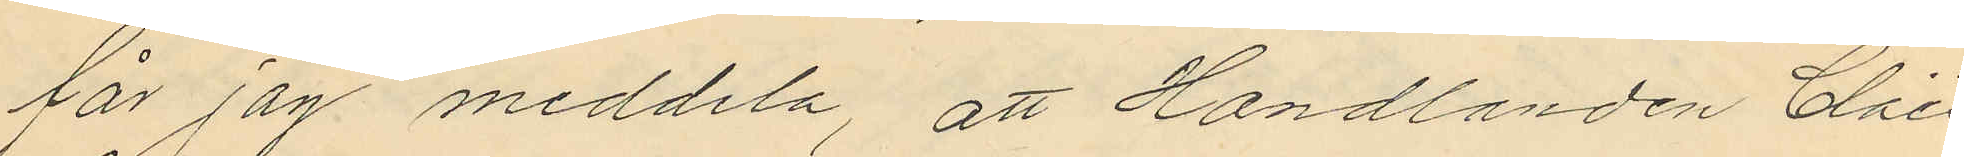får jag meddela, att Handlanden Claes
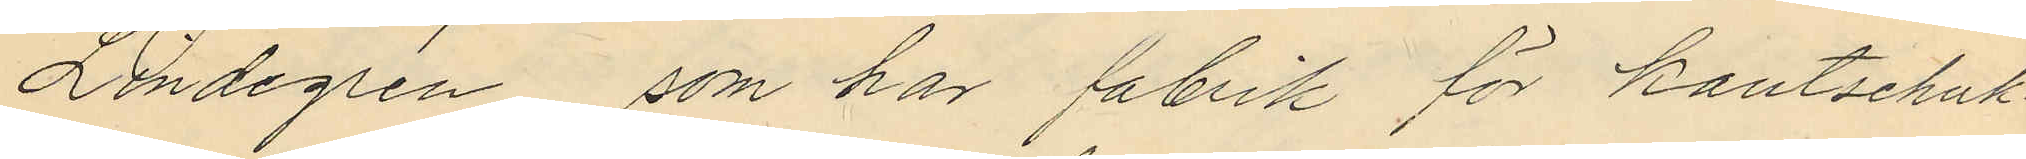Lindegrén som har fabrik för kautschuk¬
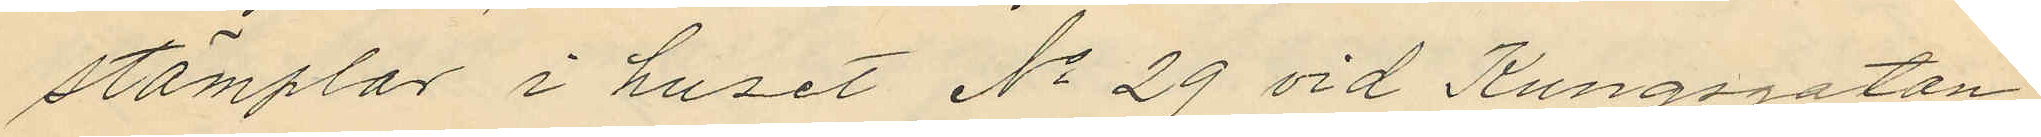stämplar i huset No 29 vid Kungsgatan
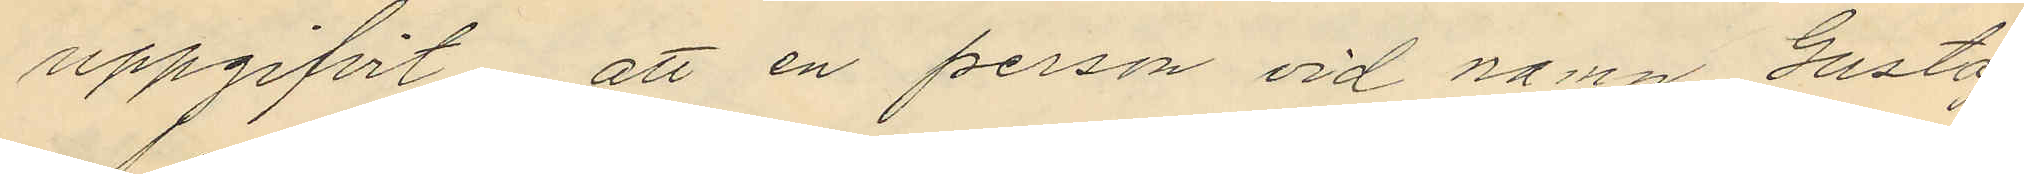uppgifvit att en person vid namn Gustaf
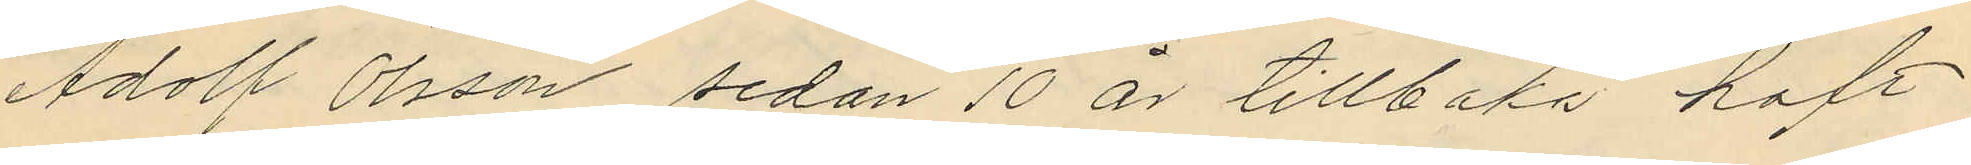Adolf Olsson sedan 10 år tillbaka haft
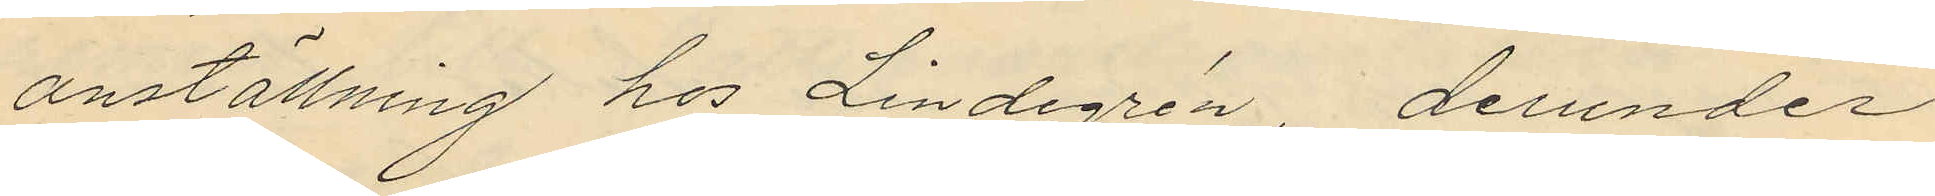anställning hos Lindegrén, derunder
